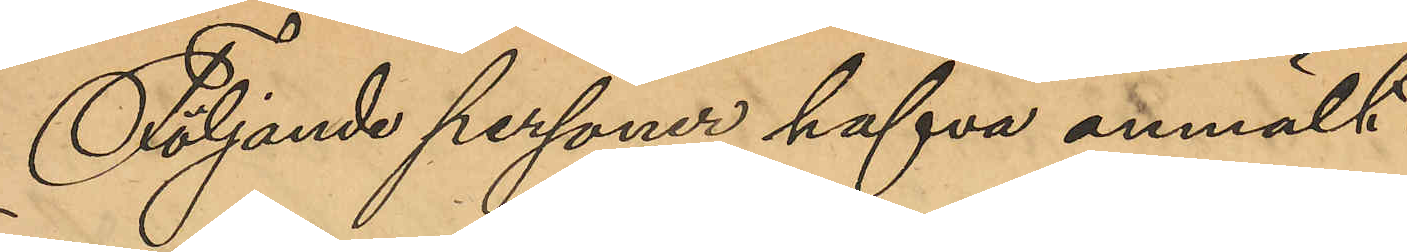Följande personer hafva anmält:
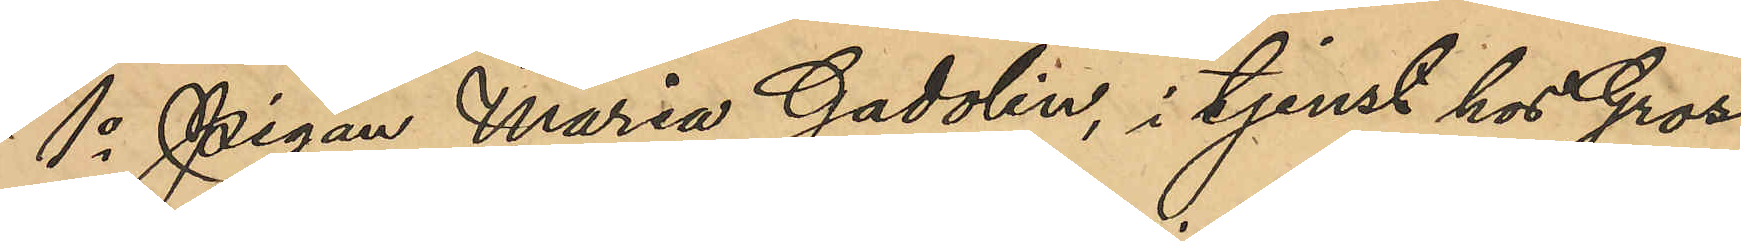1o Pigan Maria Gadolin i tjenst hos Gross¬
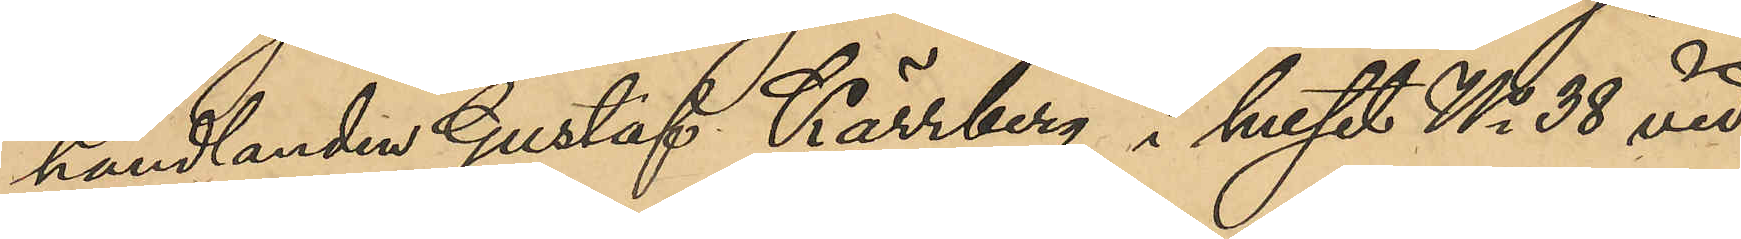handlanden Gustaf Kärrberg i huset No 38 vid
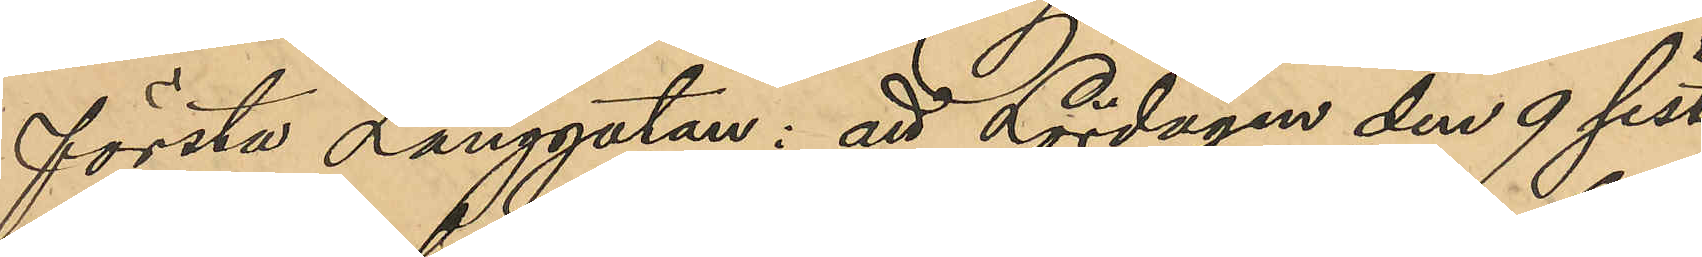första Långgatan: att Lördagen den 9 sist.
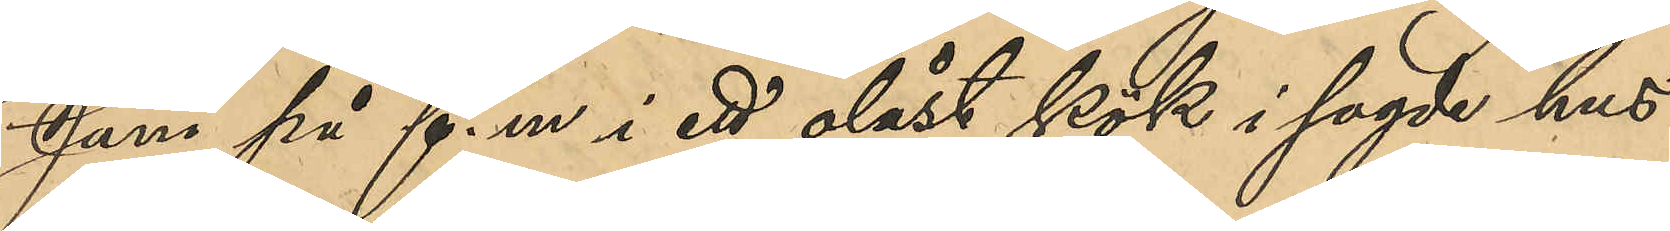Juni på f. m i ett olåst kök i sagde hus
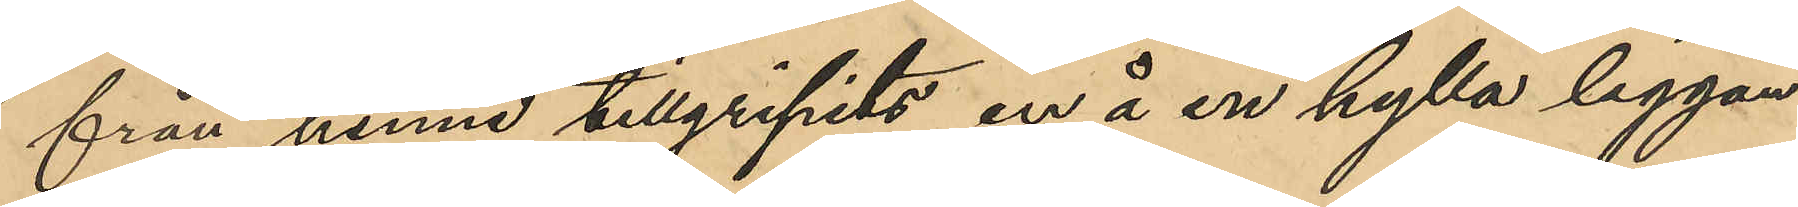från henne tillgripits en å en hylla liggan¬
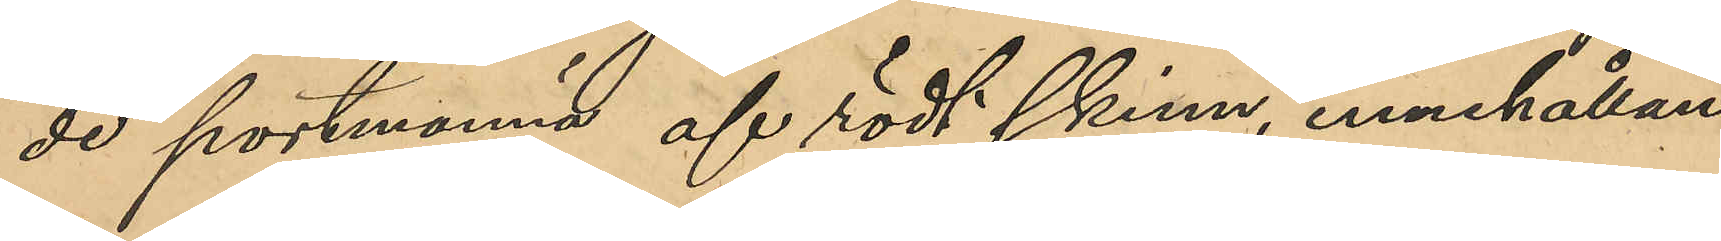de portmonnä af rödt skinn, innehållan¬
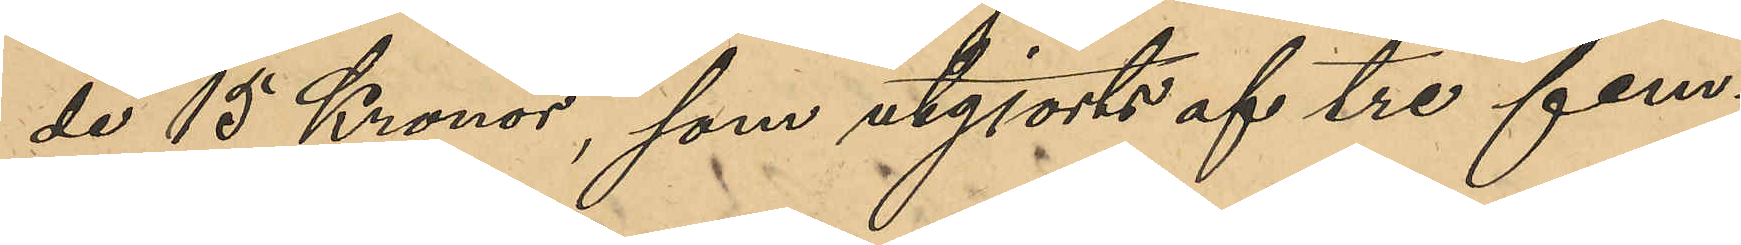de 15 Kronor, som utgjorts af tre fem¬
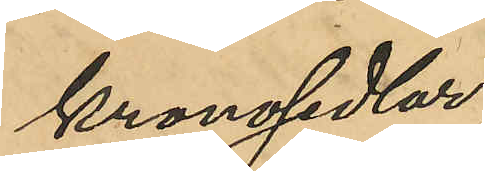kronosedlar;
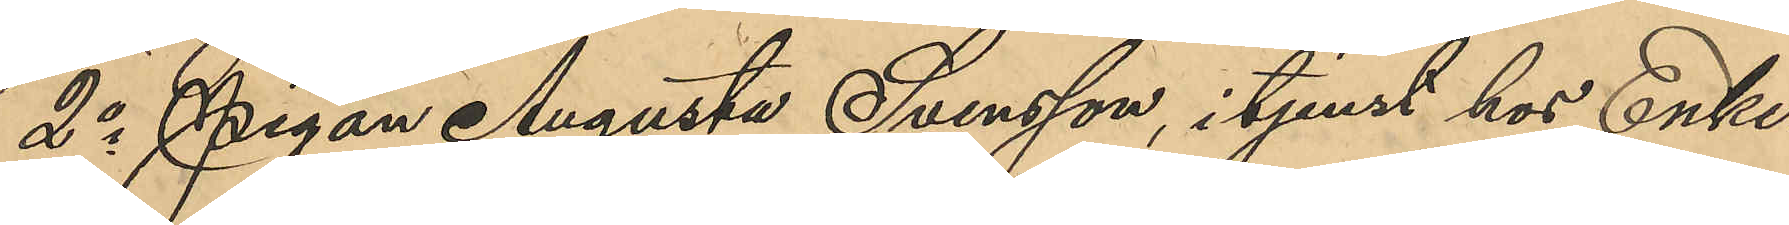2o Pigan Augusta Svensson, i tjenst hos Enke¬
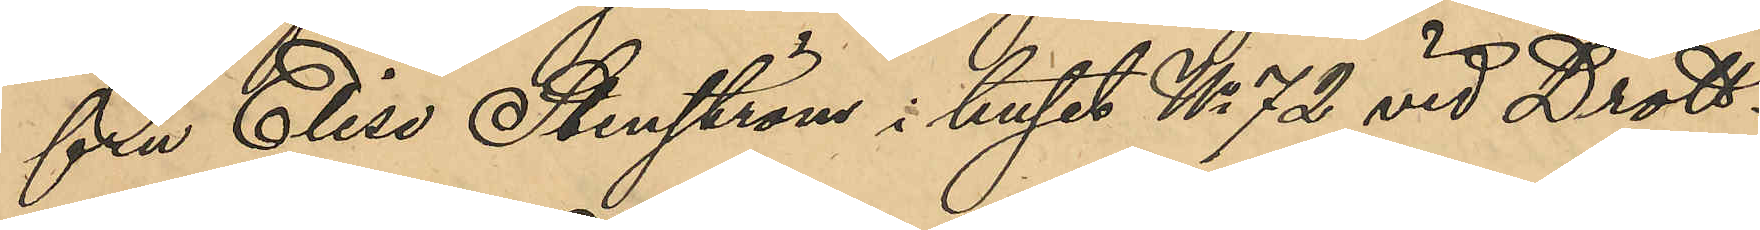fru Elise Stenström i huset No 72 vid Drott¬
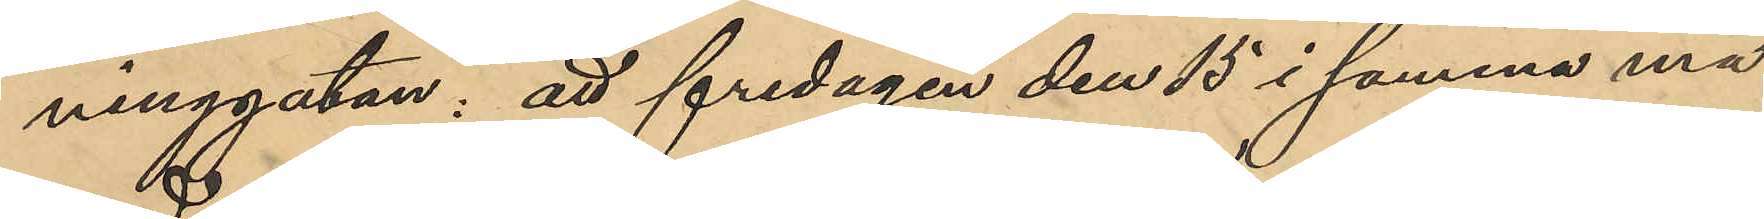ninggatan, att fredagen den 15 i samma må¬
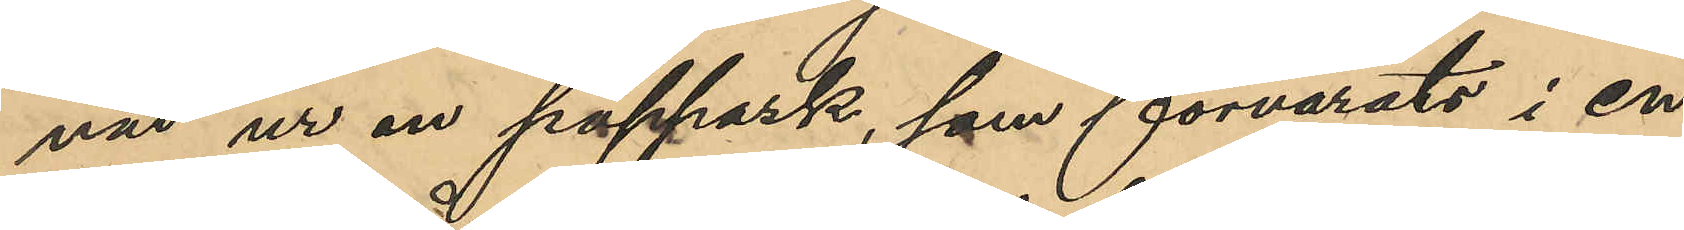nad ur en pappask, som förvarats i en
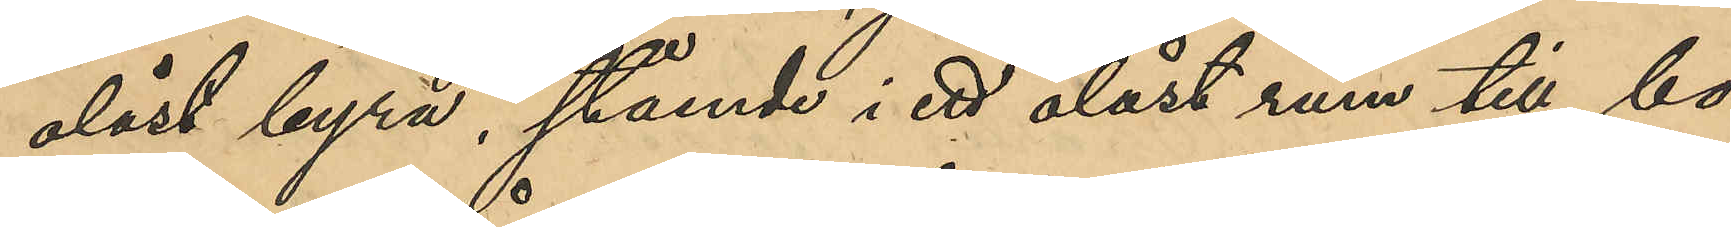olåst byrå, stående i ett olåst rum till bo¬
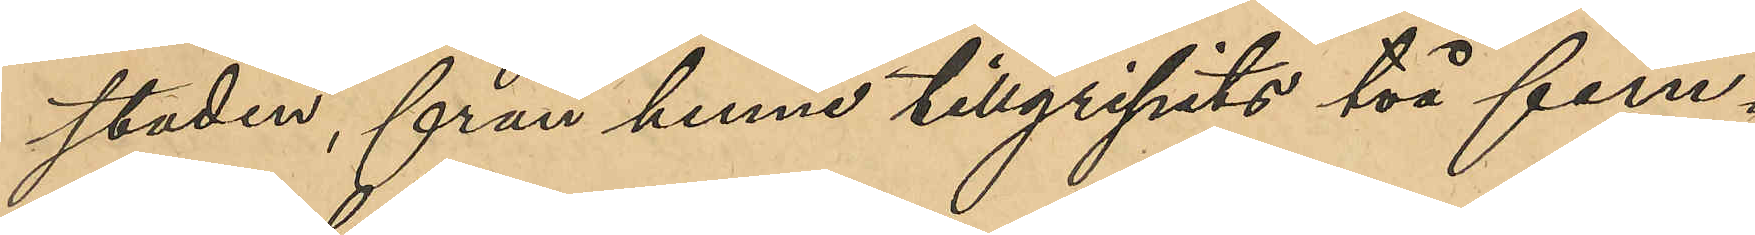staden, från henne tillgripits två fem¬
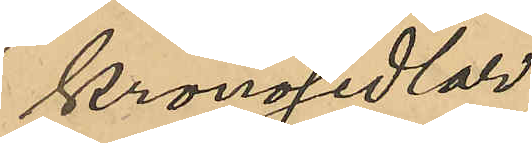kronosedlar;
